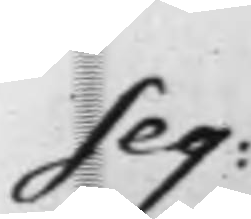Seq:
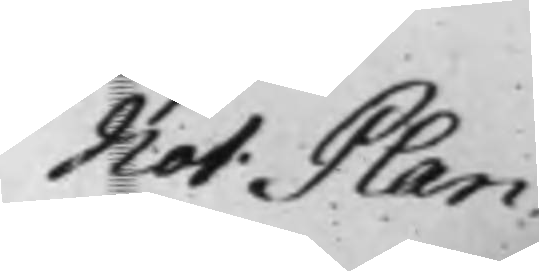Not. Plan.
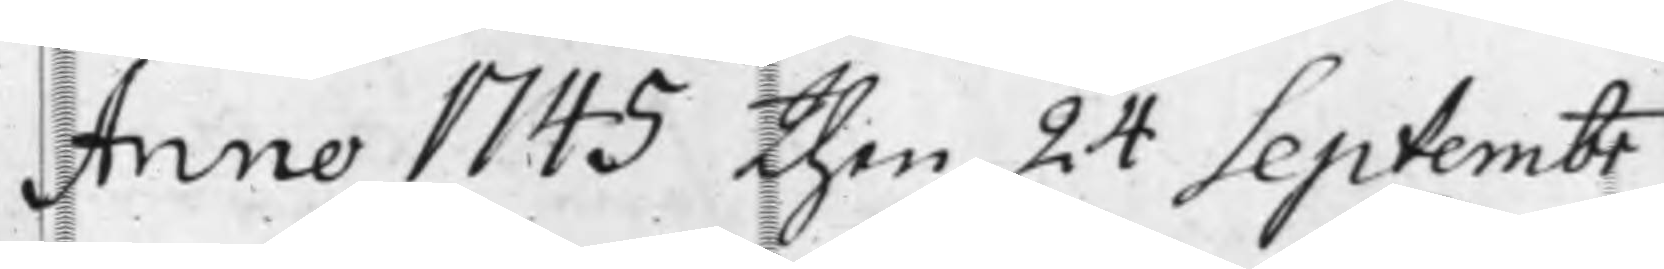Anno 1745 then 24 Septembr
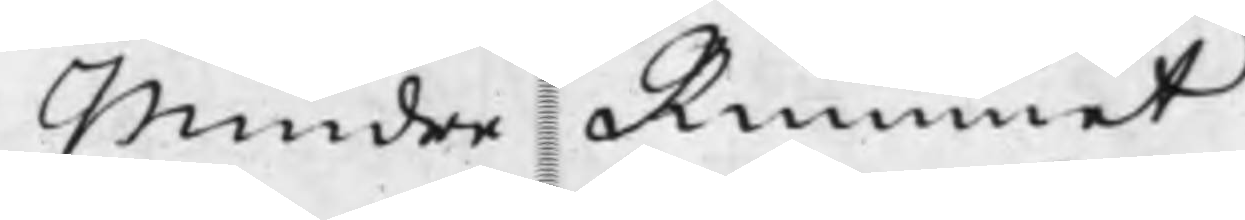Mindre Rummet
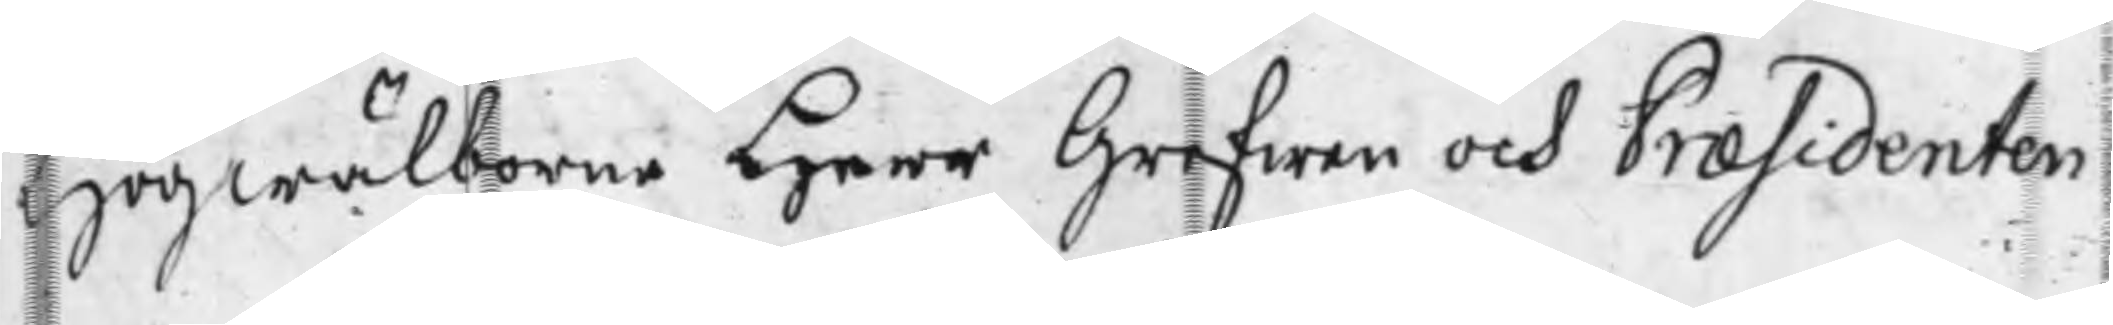Högwälborne Herr Grefwen och Præsidenten
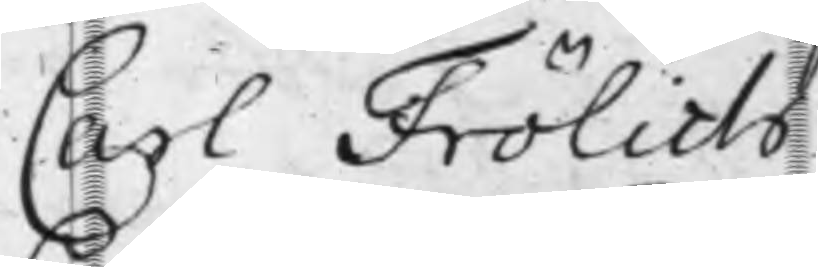Carl Frölich
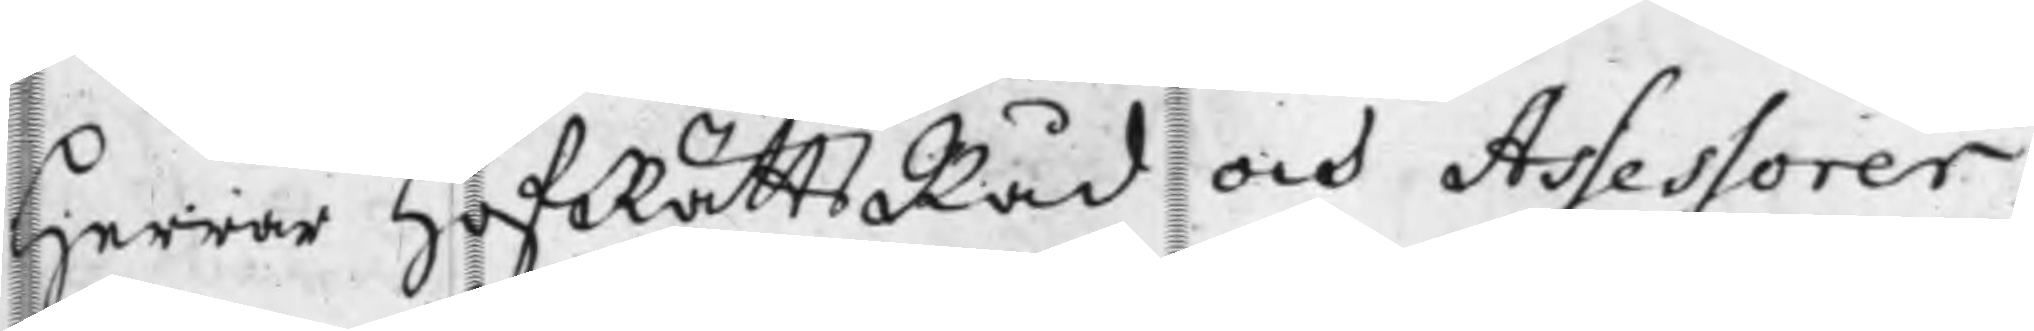Herrar HofRättsRåd och Assessorer
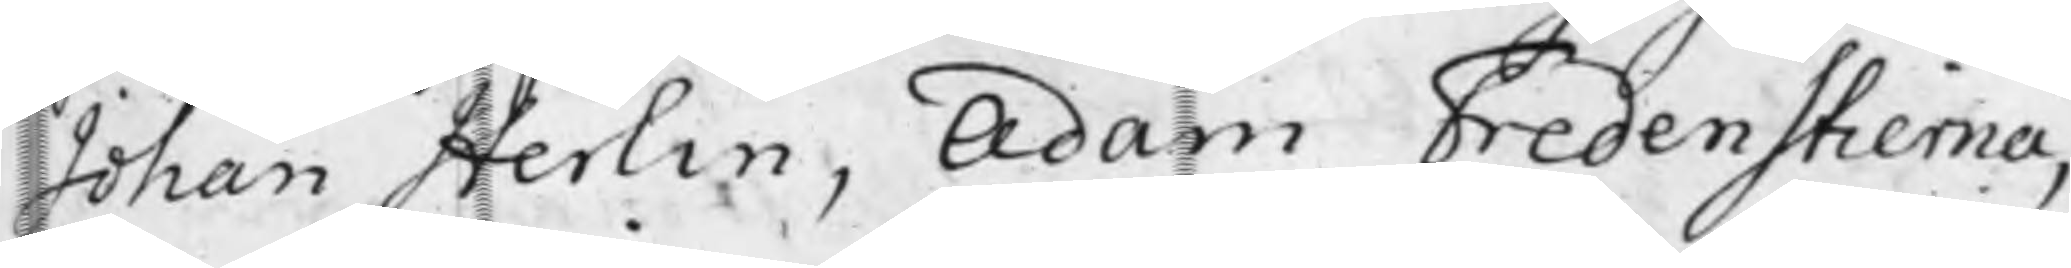Johan Herlin, Adam Fredenstierna
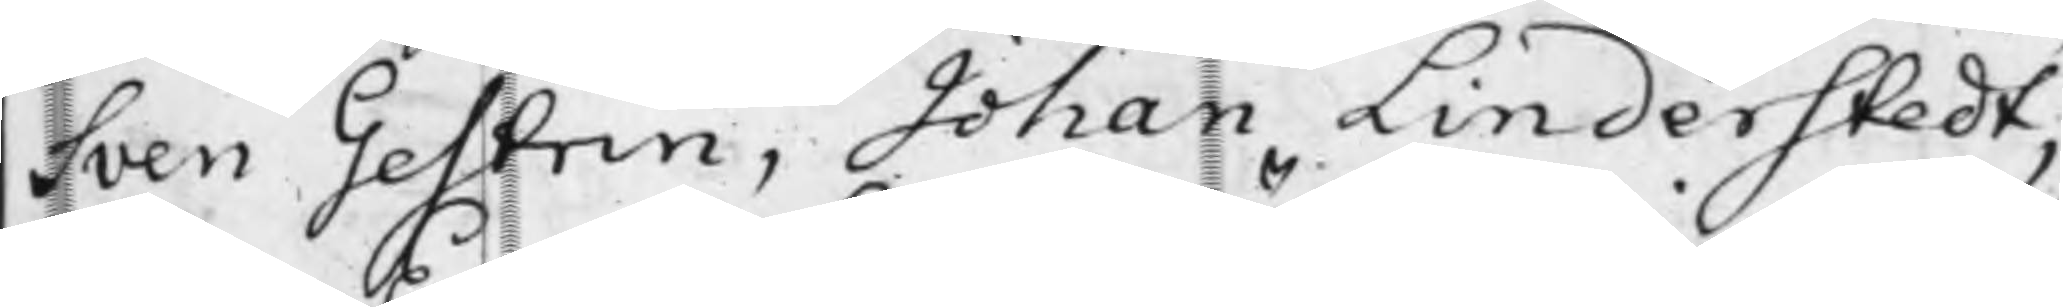Sven Gestrin, Johan Linderstedt,
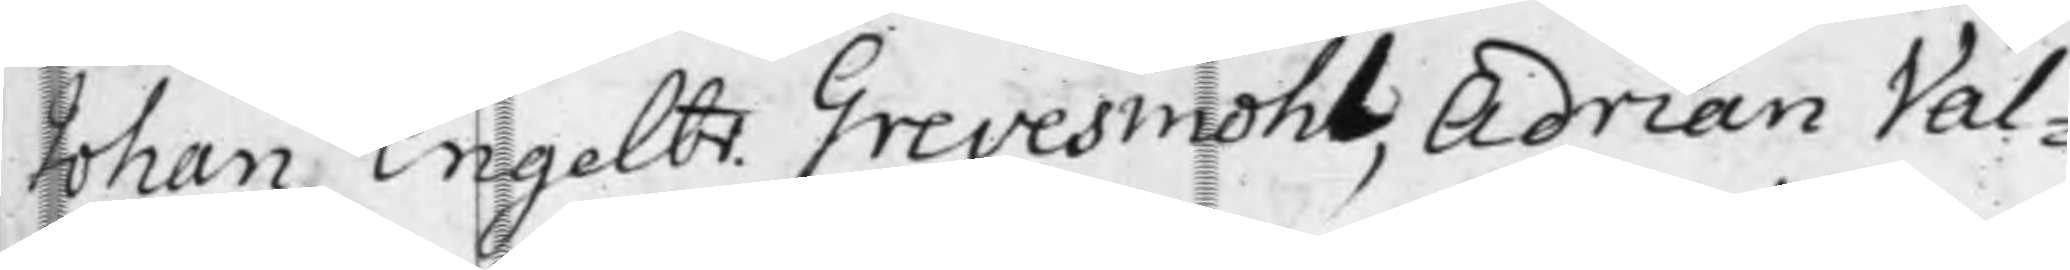Johan Engelbr. Grevesmöhl, Adrian Val¬
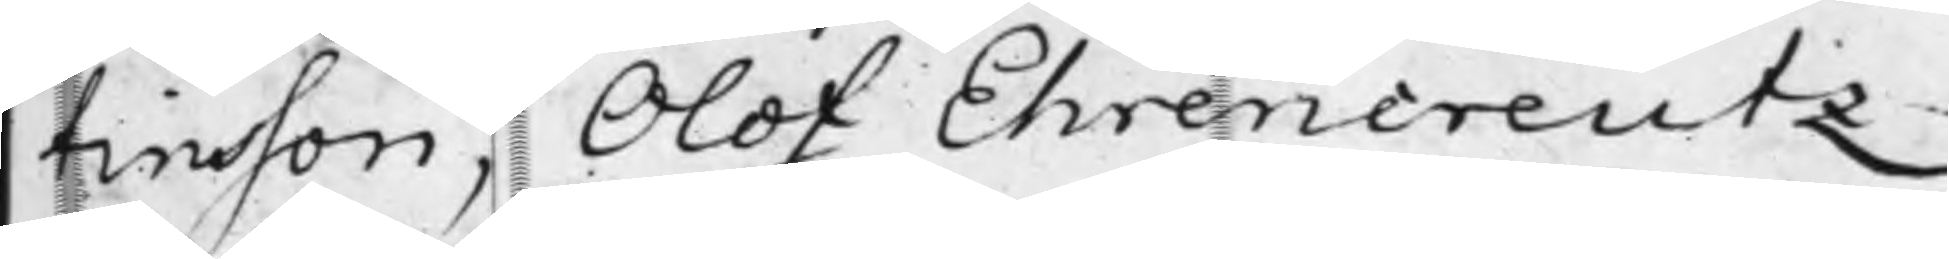tinsson, Olof Ehrencreutz,
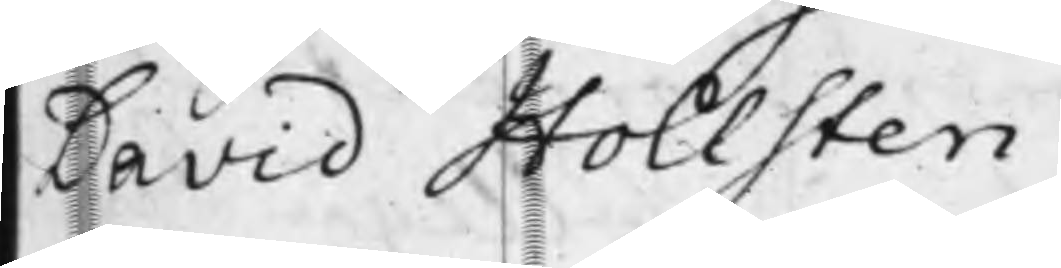David Hollsten.
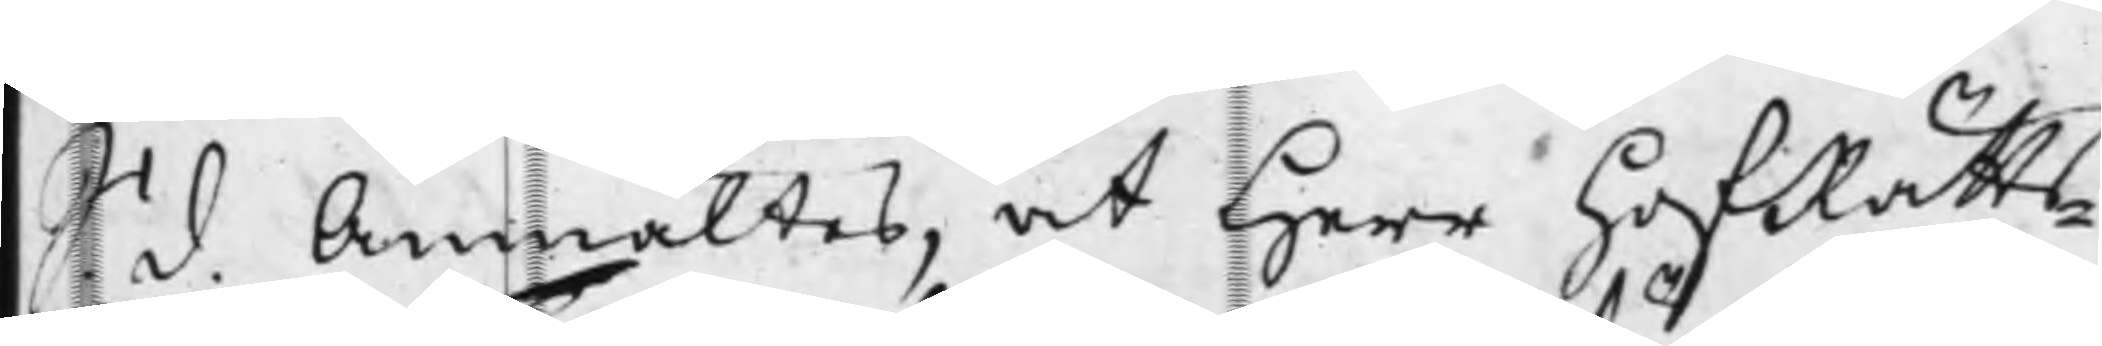S. d. Anmältes, at Herr HofRätts¬
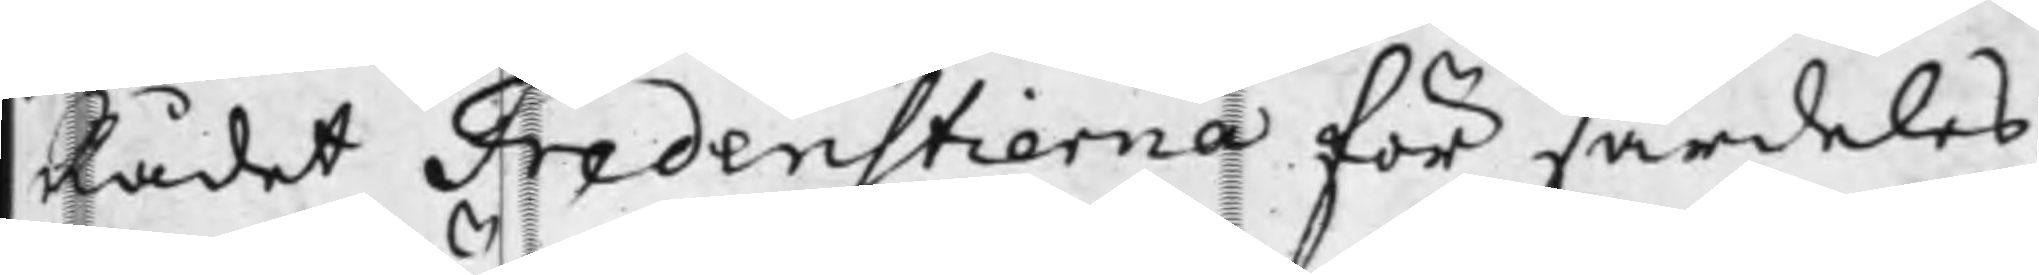Rådet Fredenstierna för särdeles
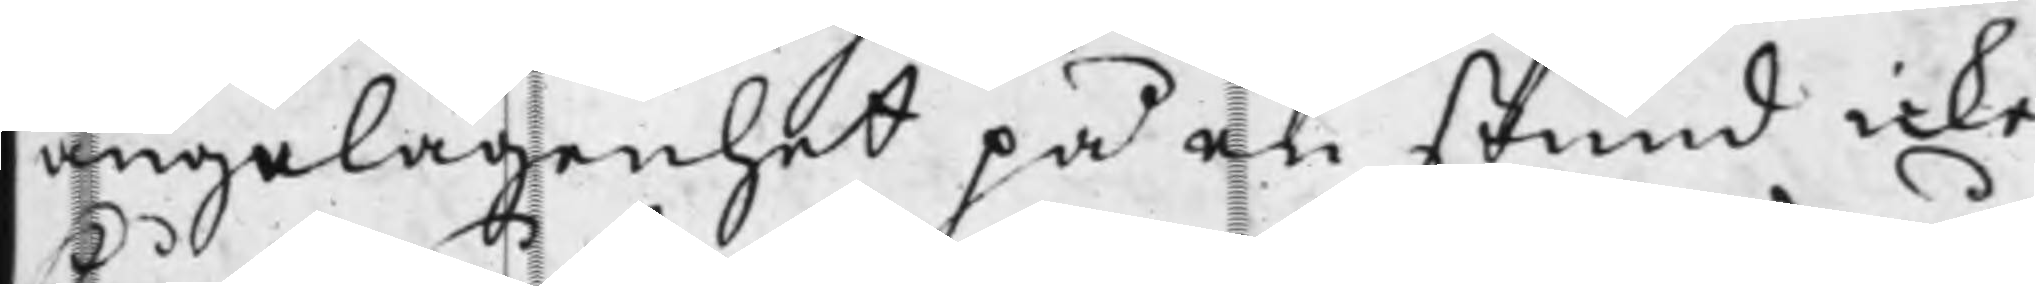angelägenhet på en stund icke
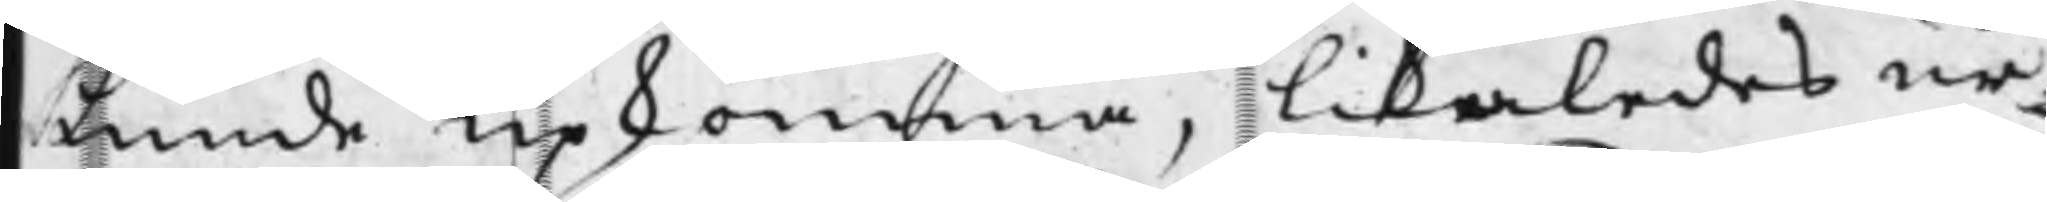kunde upkomma, likåledes ur¬
